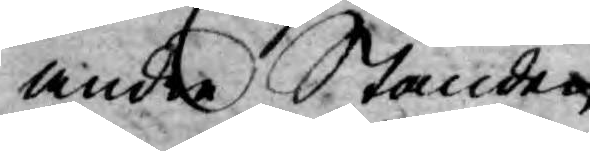andra Stånden.
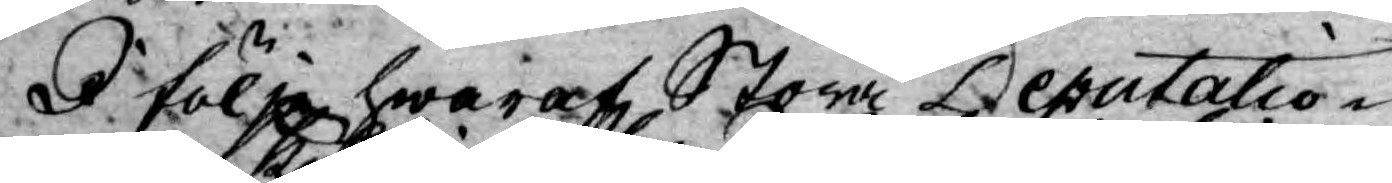I följe hwaraf Stora Deputatio¬
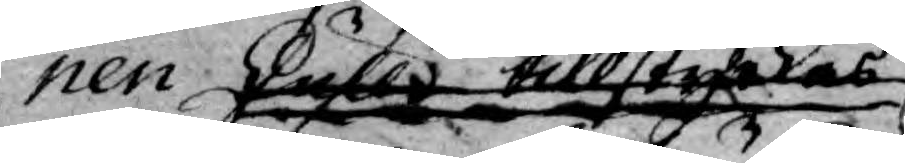nen skulle tillstyrkas
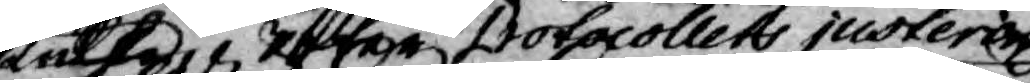skulle i efter Protocollets justering
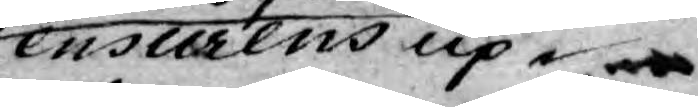Censurens up¬
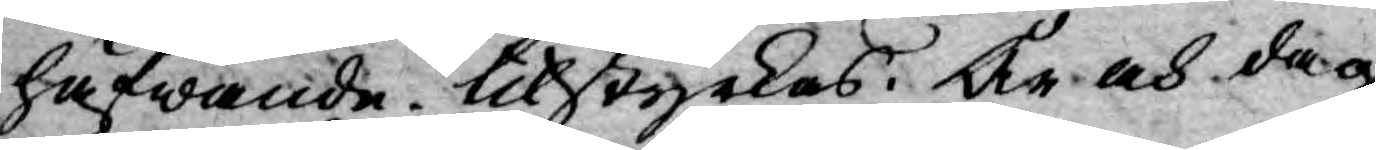häfwande tilstyrkas. År och dag,
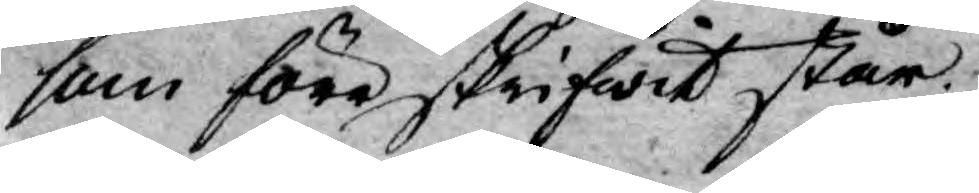som föreskrifwit står.
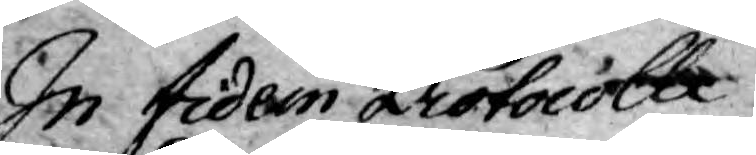In fidem Protocolli
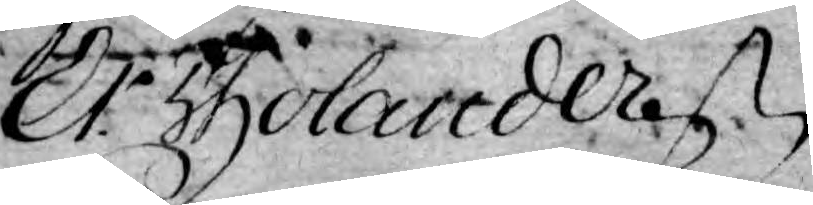Er. Tholander
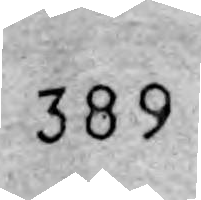389
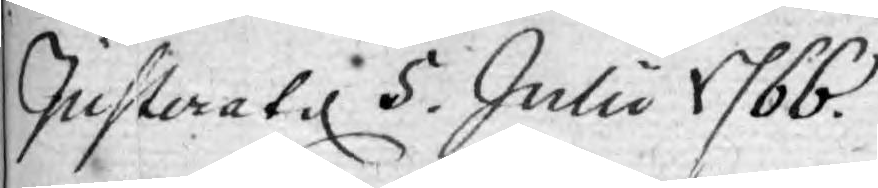Justerat d 5. Julii 1766.
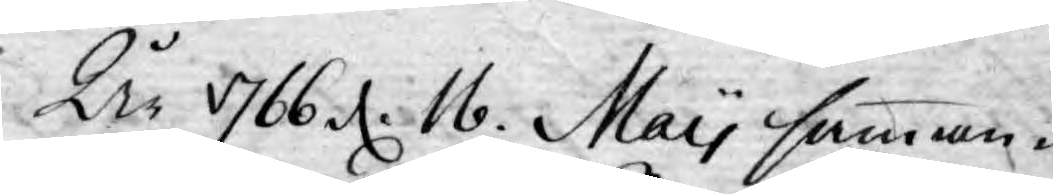År 1766 d. 16. May samman¬
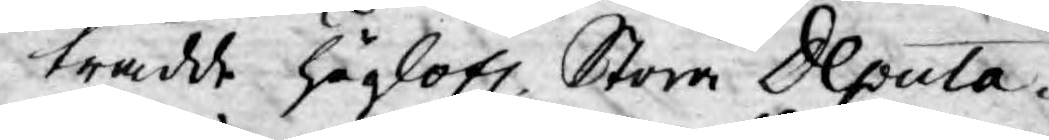trädde höglofl. Stora Deputa¬
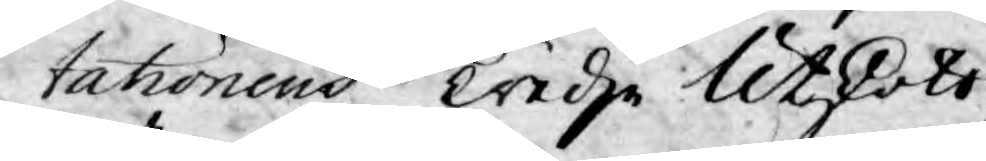tationens Tredje Utskott,
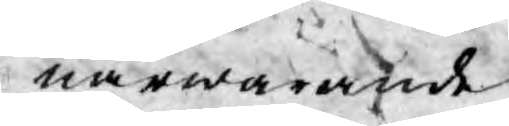närwarande
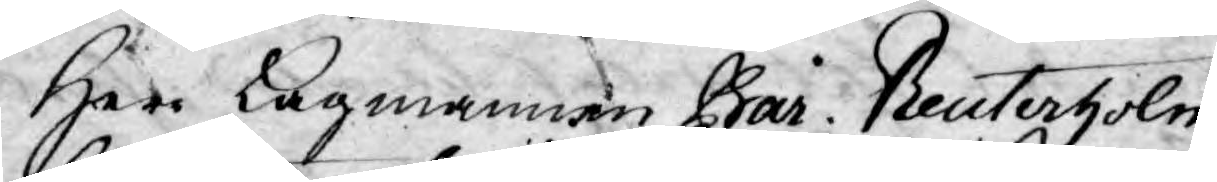Herr Lagmannen Bar. Reuterholm
